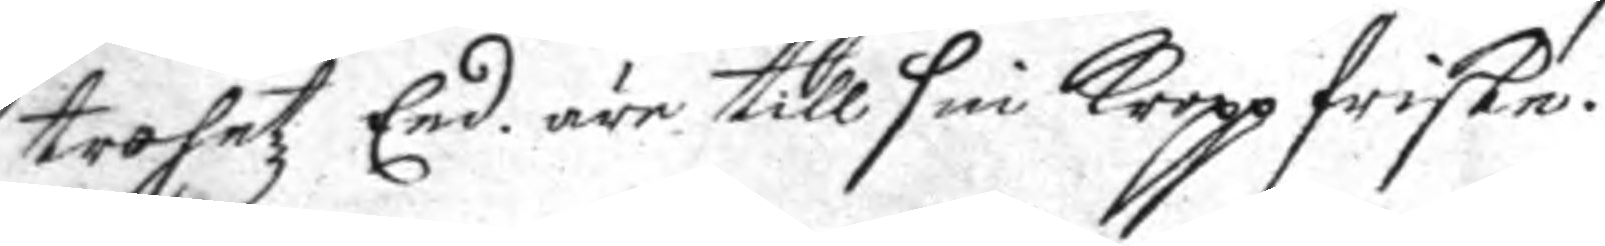trohetz Eed, äre till sin kropp friske.
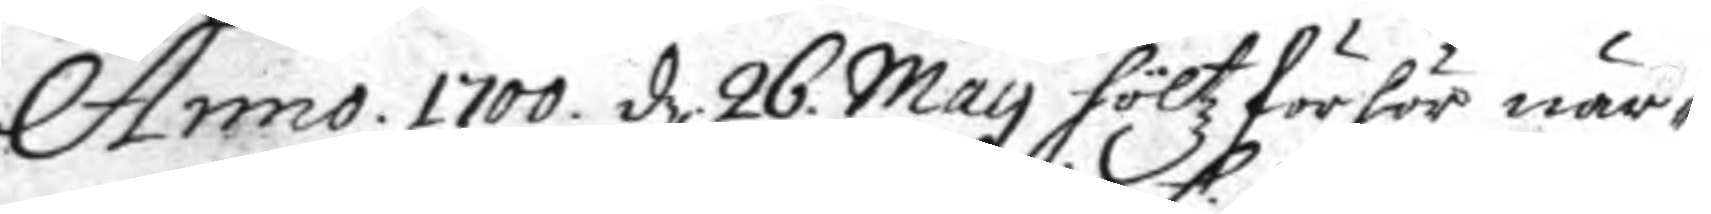Anno 1700. d. 26 May höltz förbön när¬
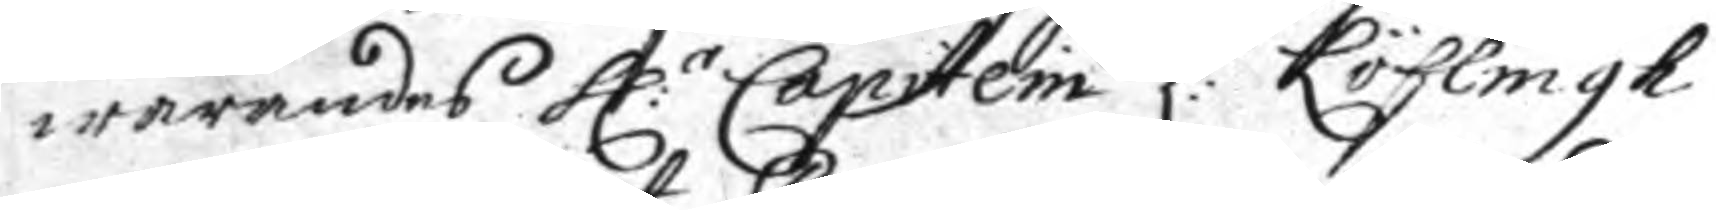warandes h:r Capitein L: Löflingh
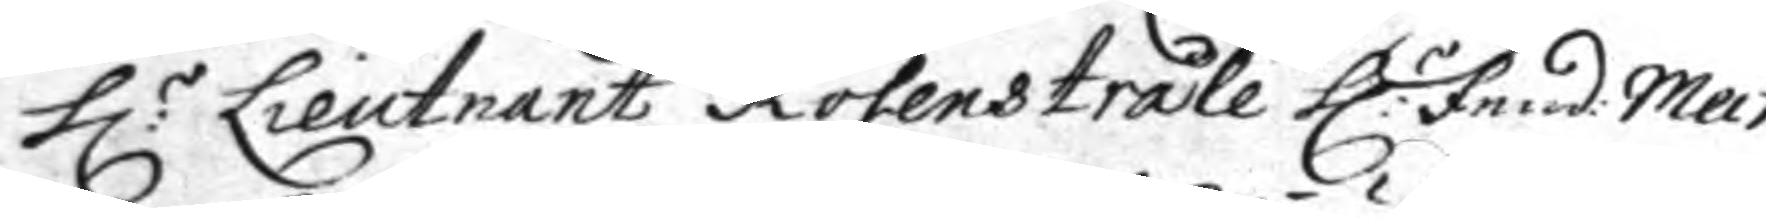h:r Lieutnant Rosenstråle h:r fend: Melk
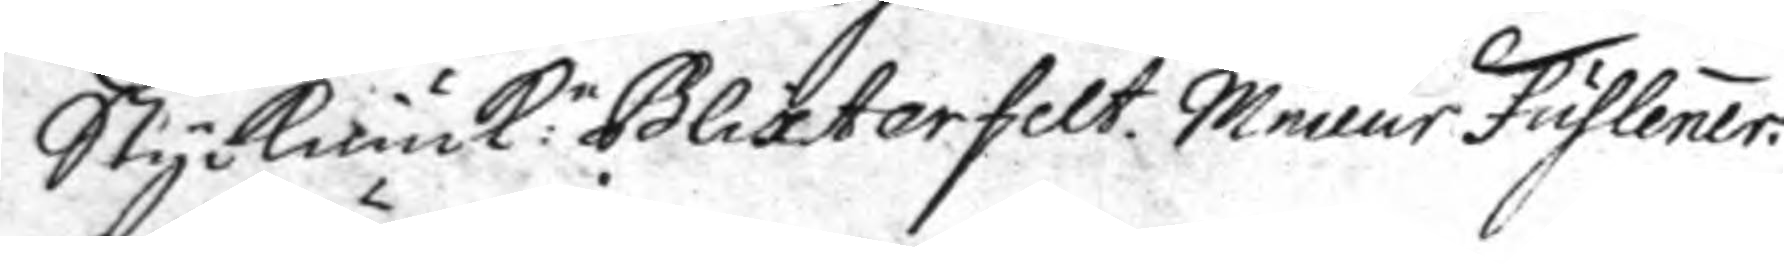Styckiunck:n Blixterfelt. Mineur fuhlener.
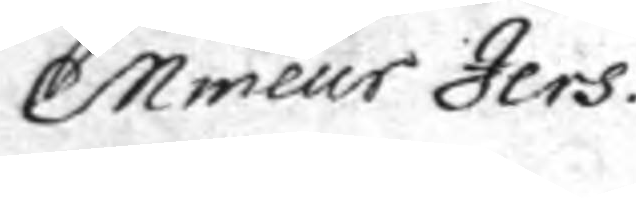Mineur Jers.
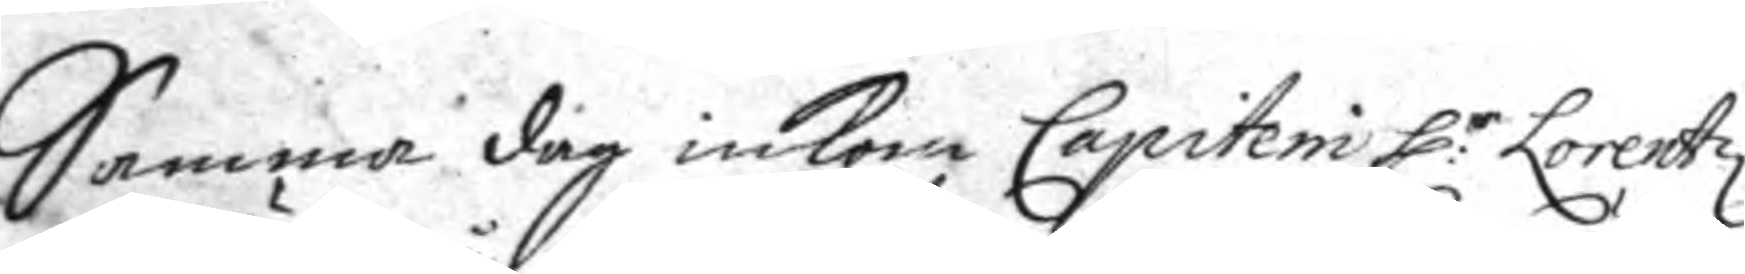Samma dag inkom Capitein h:r Lorentz
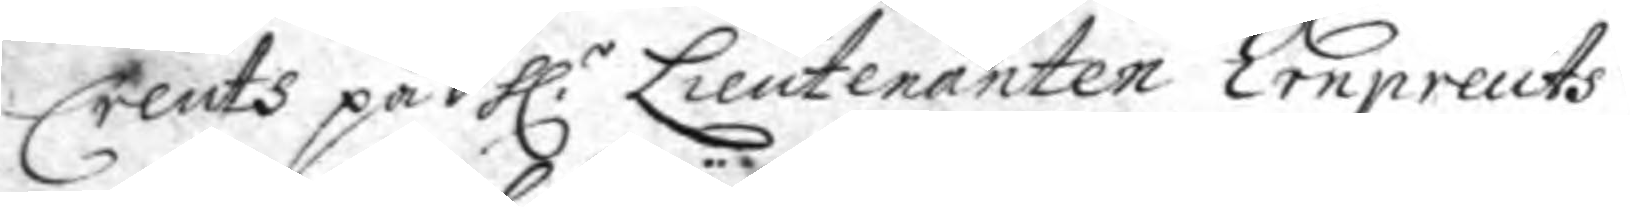Creuts på h.r Lieutenanten Ernpreuts
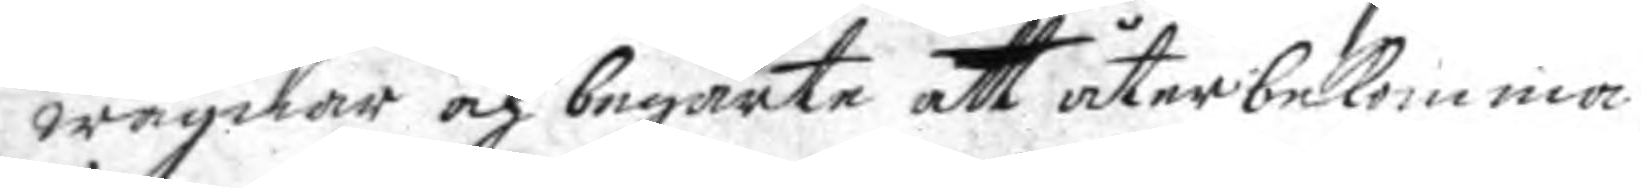wägnar och begärte att återbekomma.
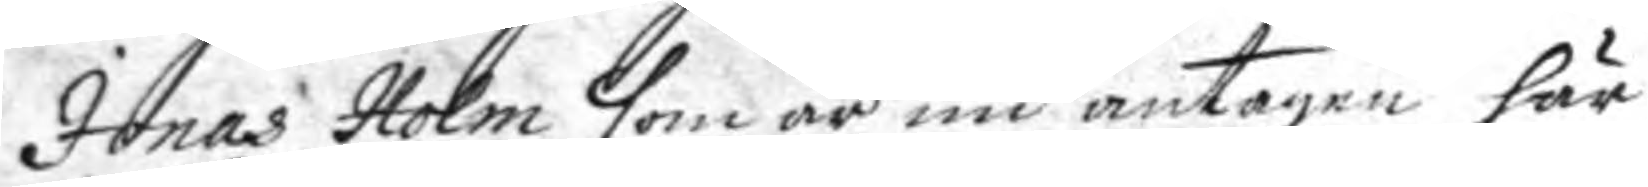Jonas Holm som är nu antagen här
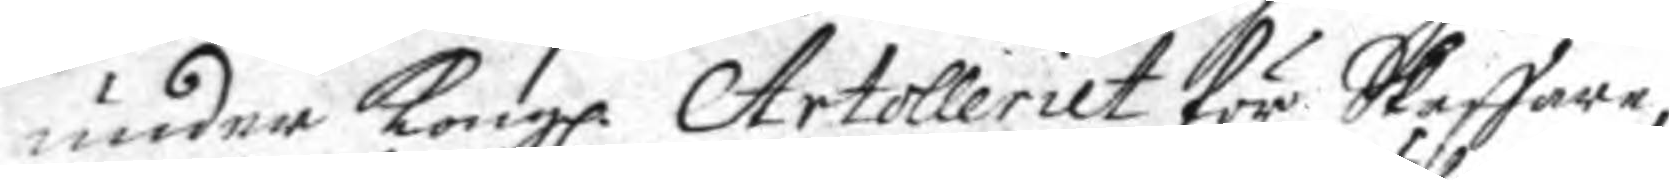under Kongl. Artolleriet för Skaffare
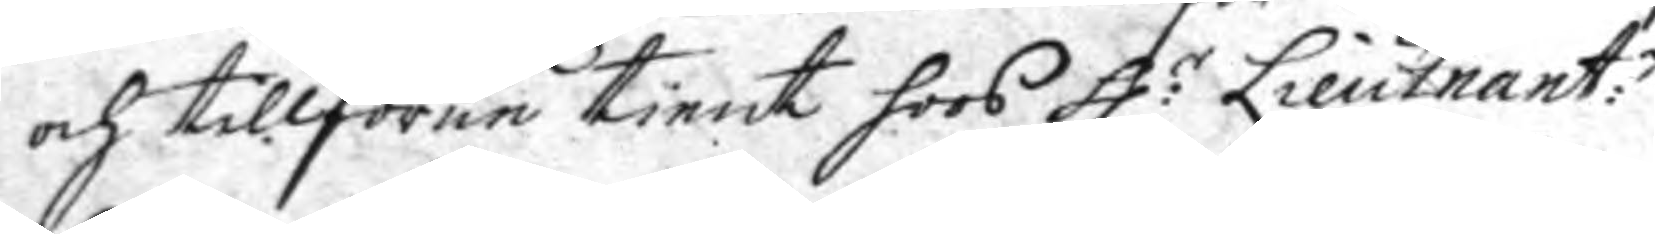och tillförne tient hoos h:r Lieutnant:n
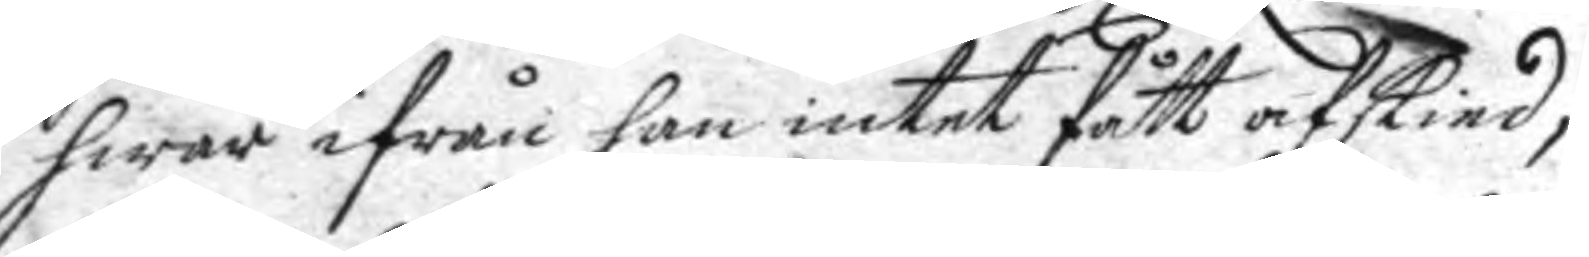hwar ifrån han intet fått afskied,
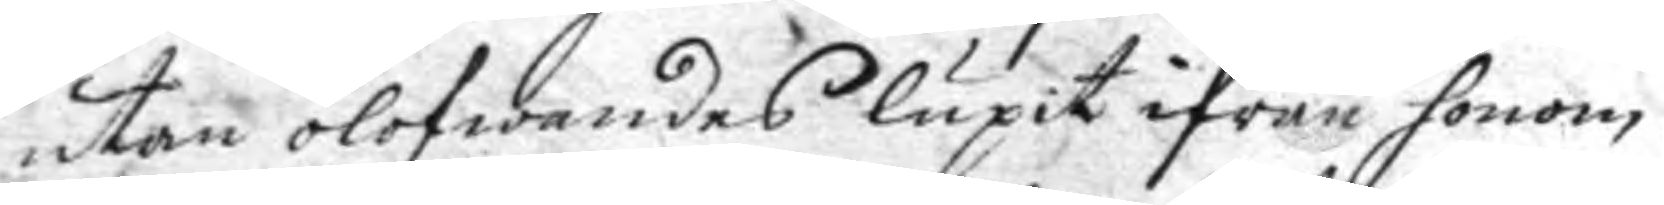utan olofwandes lupit ifrån honom
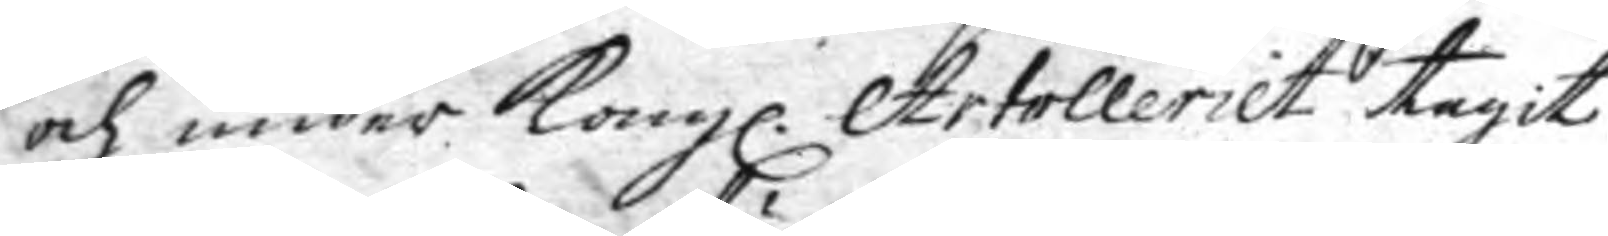och under Kongl. Artolleriet tagit
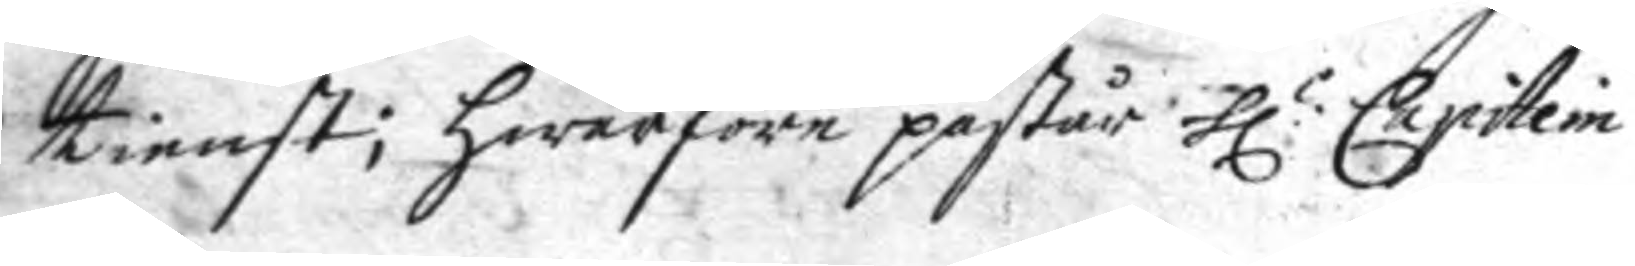tienst; hwarföre påstår h:r Capitein
